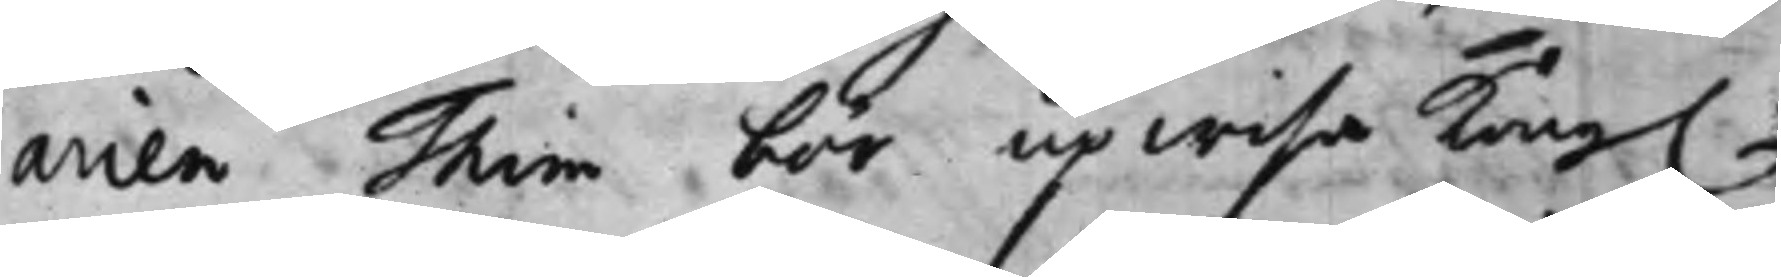arien Thim bör upwisa Kong.
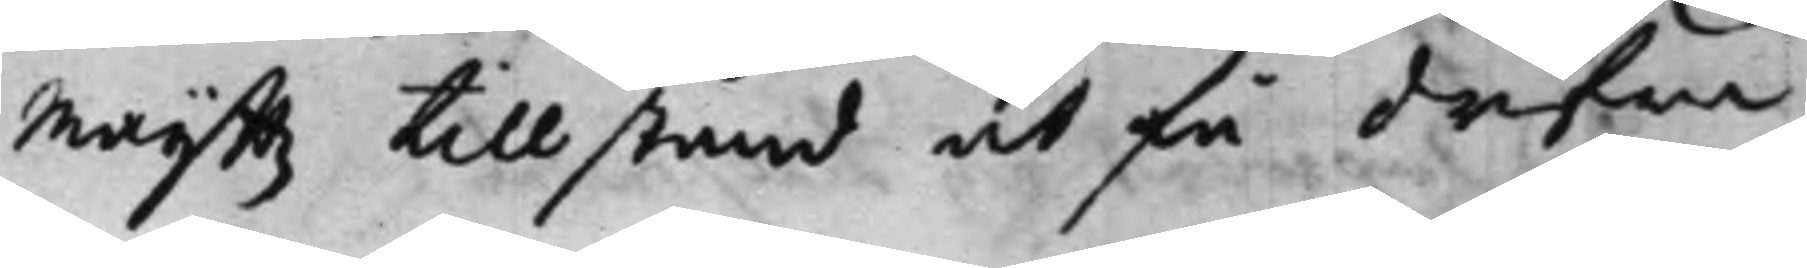Maijttz tillstånd at få drifwa
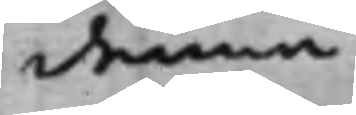denna
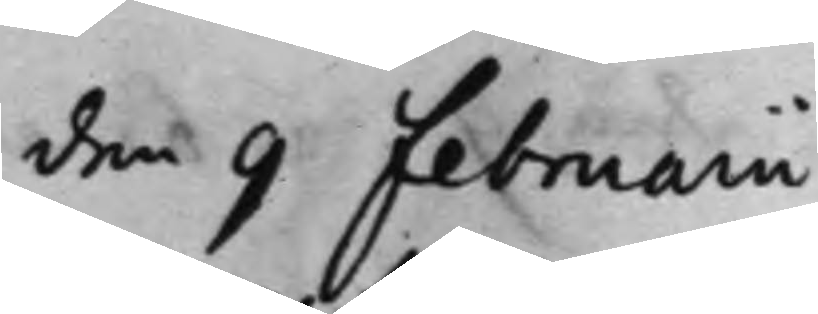den 9 Februarii
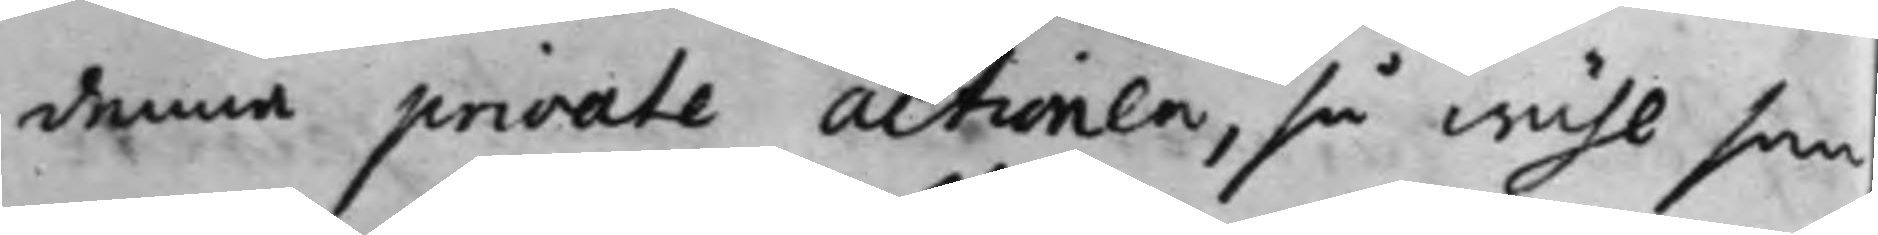denna private actionen, så wähl som
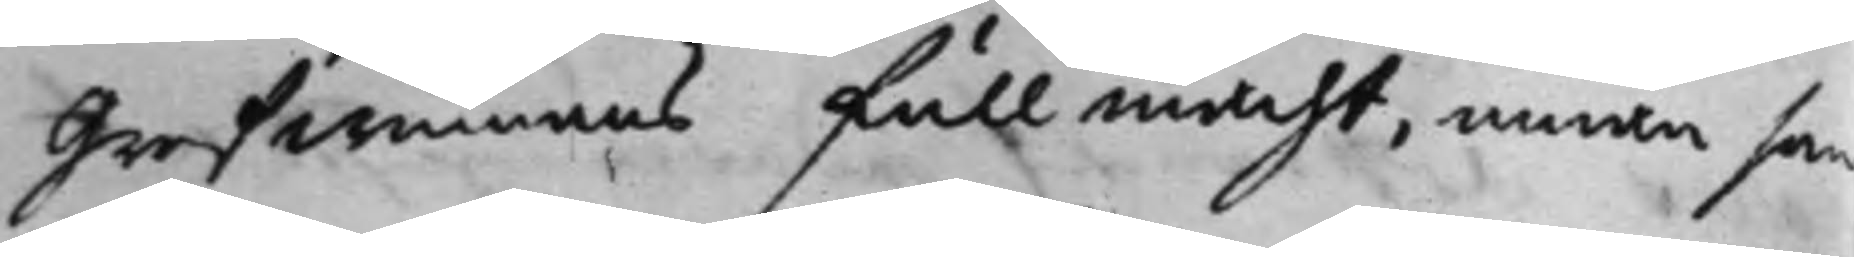Grefwinnans fullmacht, innan som
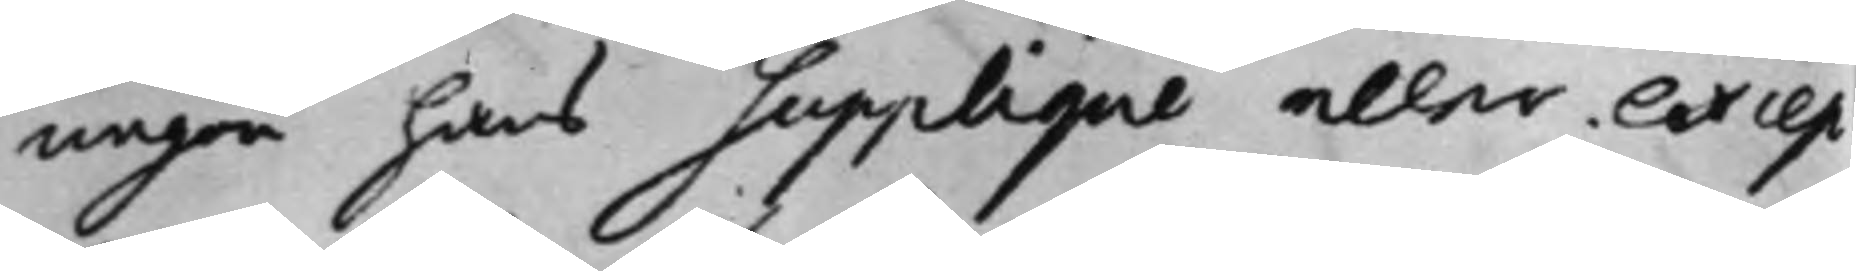någon hans Supplique eller excep¬
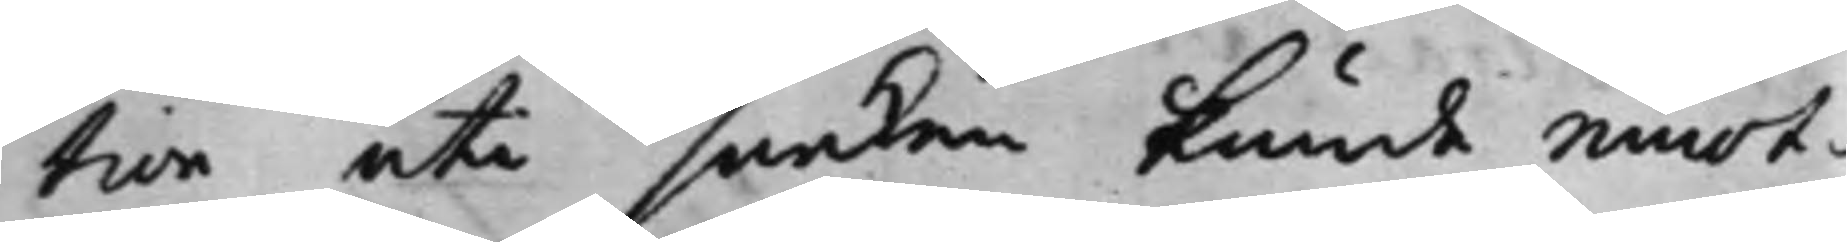tion uti saaken kunde emot¬
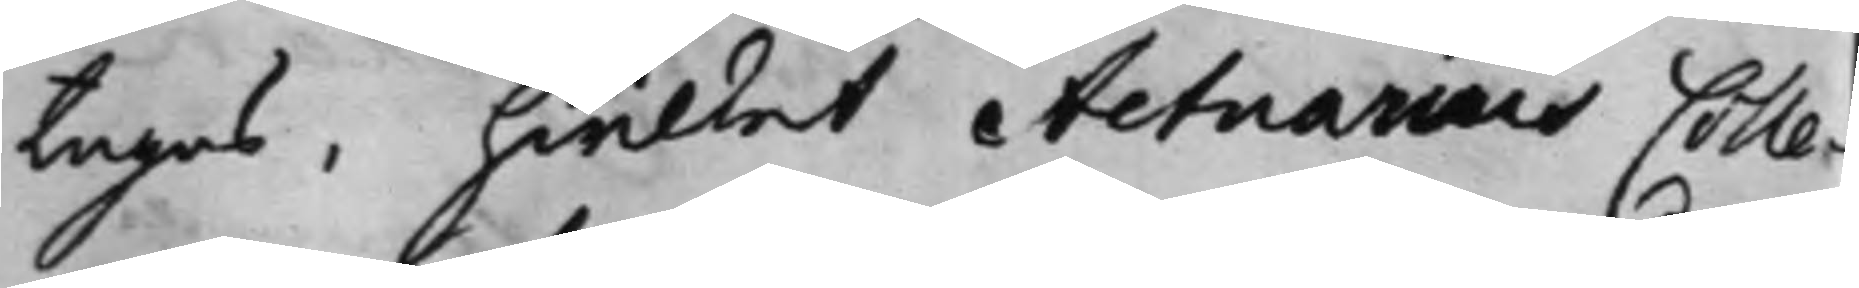tagas, hwilket Actuarius Colle¬
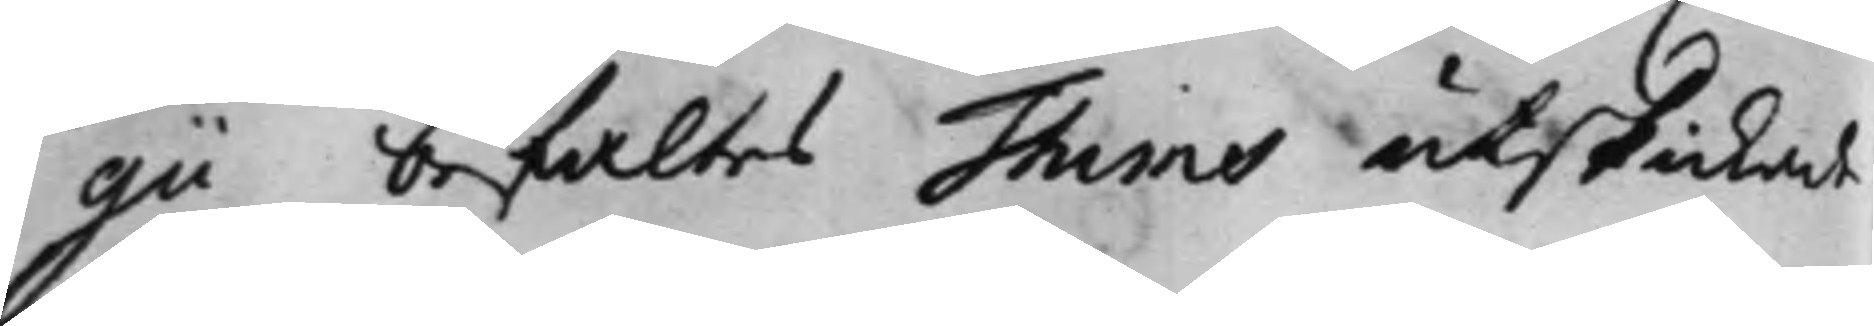gii befaltes Thims utskickade
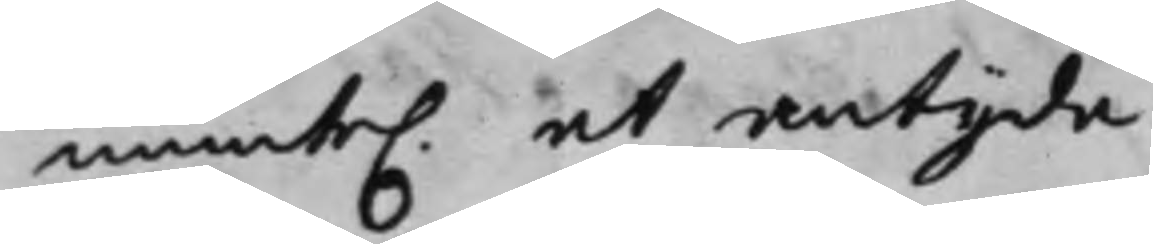munte. at antyda.
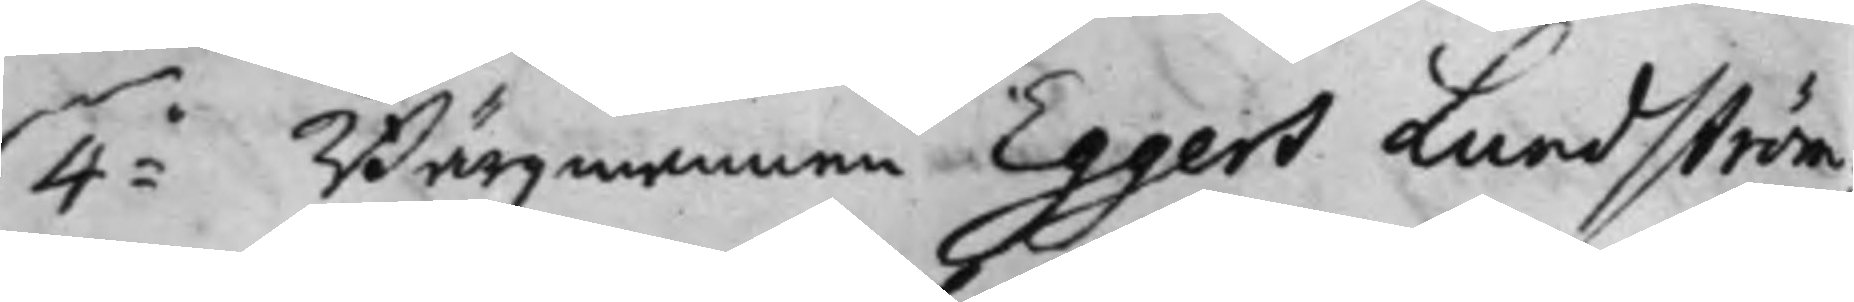4:o Bärgz mannen Eggers Lundström;
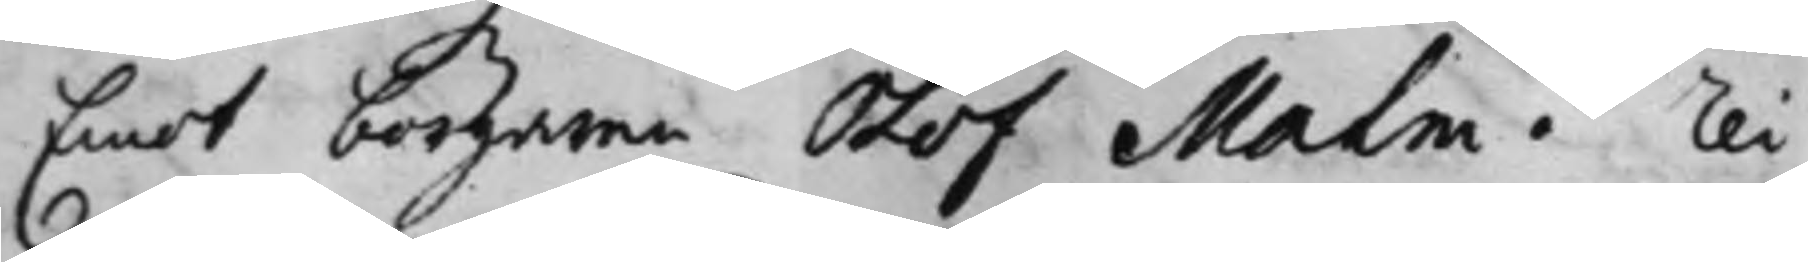Emot borgaren Olof Malm. Rei
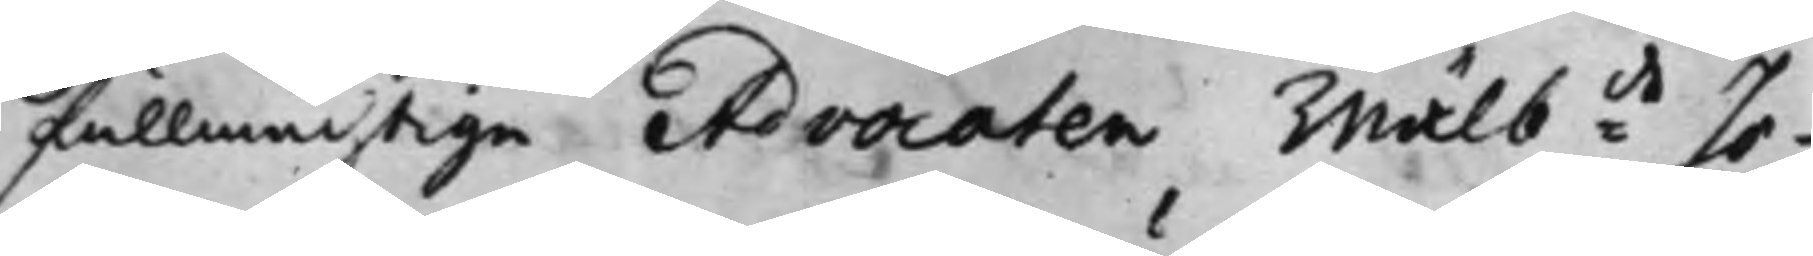fullmächtige Advocaten Wälb:de Jo¬
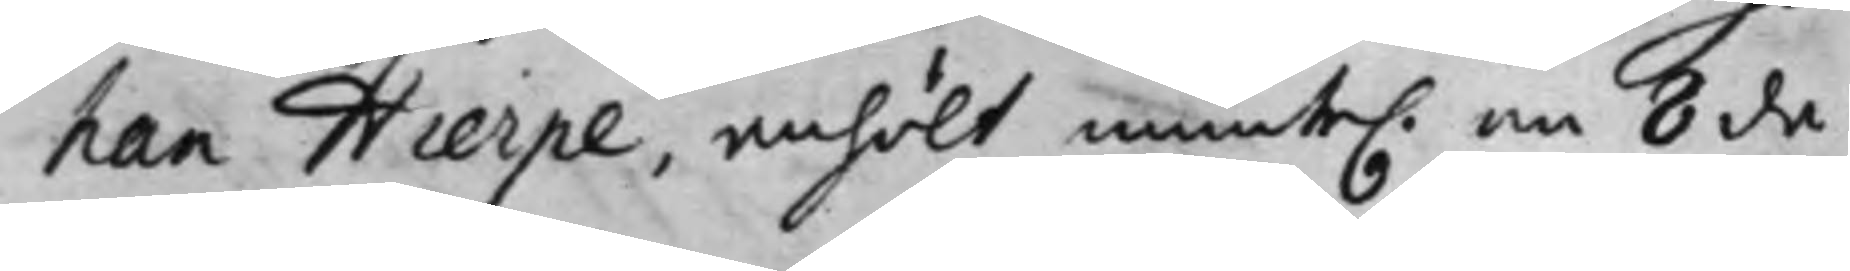han Hierpe, anhölt munte. om 8 da¬
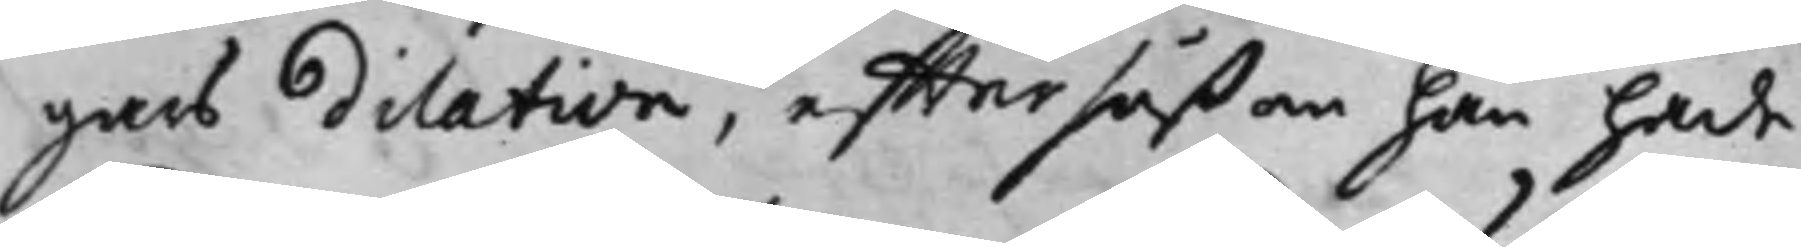gars dilation, effter såßom han hade
